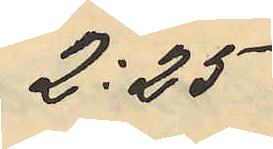2:25
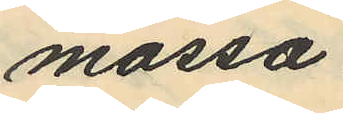mössa
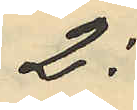2:
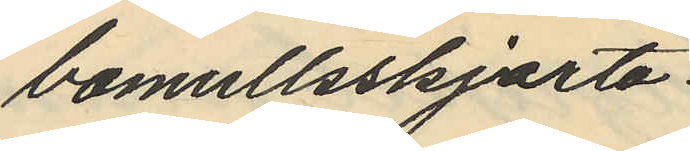bomullsskjorta
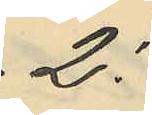2:
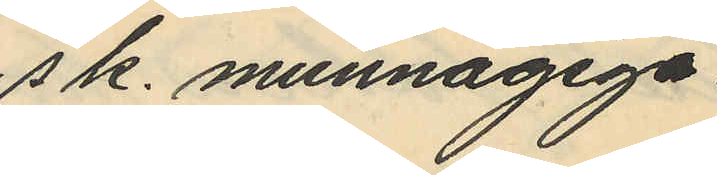sk. munnagiga
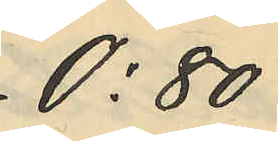0:80
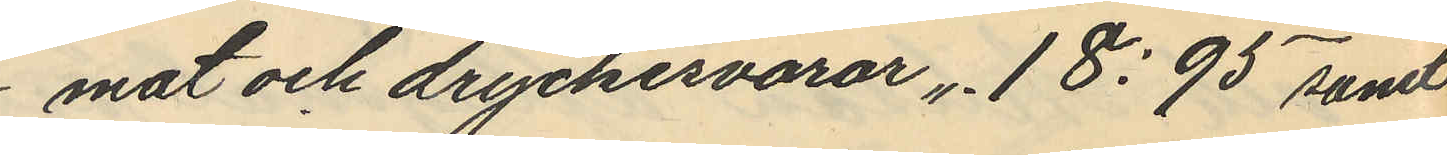mat och dryckesvaror " 18:95 samt
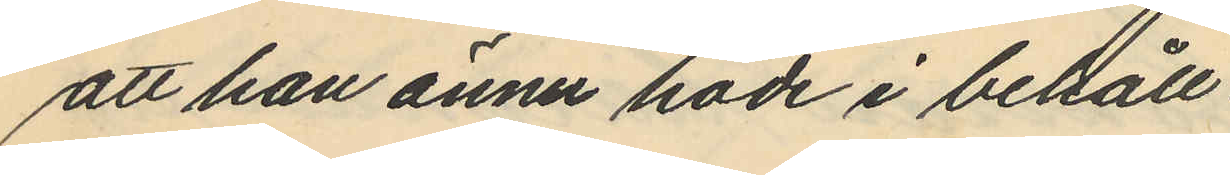att han ännu hade i behåll
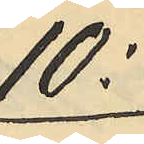10:
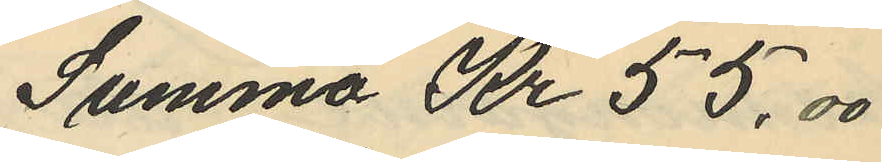Summa Kr 55.00
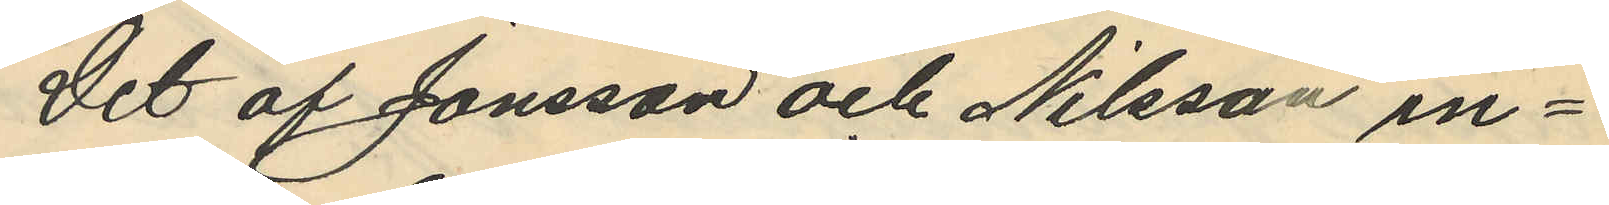Det af Jonsson och Nilsson in¬
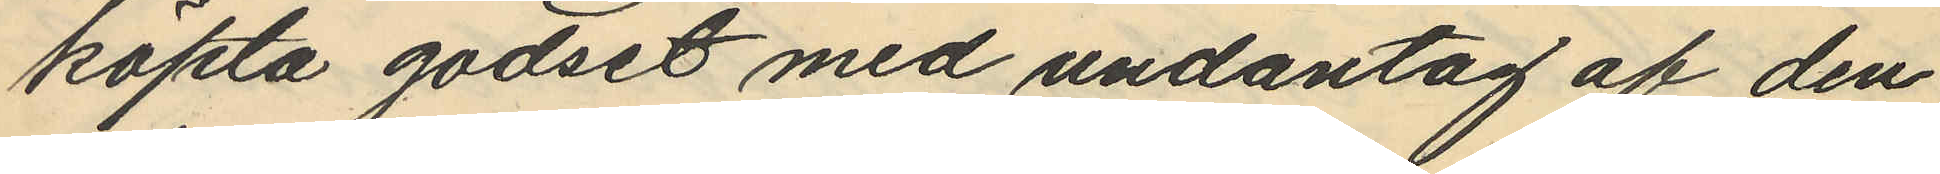köpta godset med undantag af den
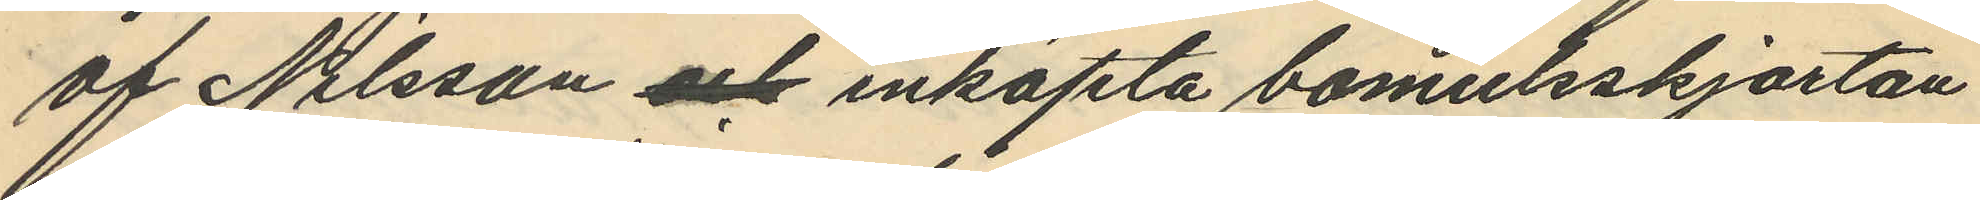af Nilsson och inköpta bomulsskjortan
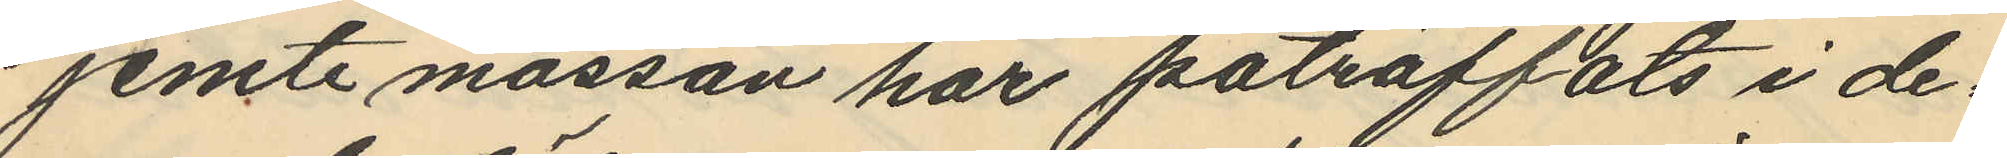jemte mössan har påträffats i de¬
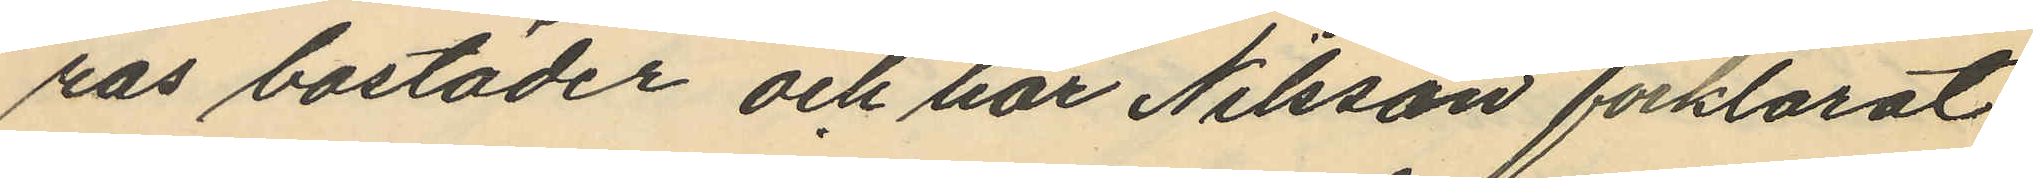ras bostäder och har Nilsson förklarat:
